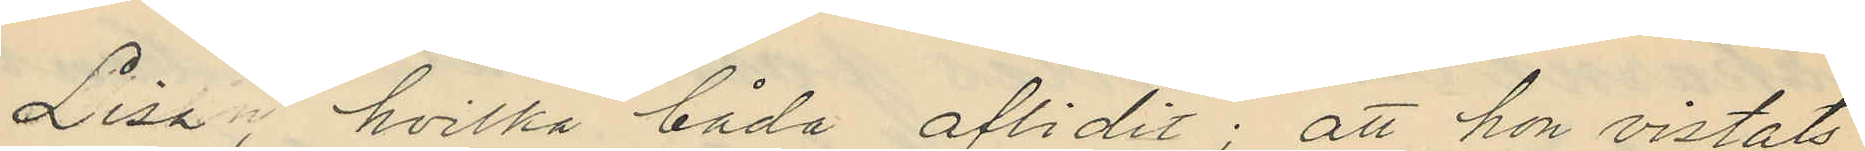Lisa, hvilka båda aflidit; att hon vistats
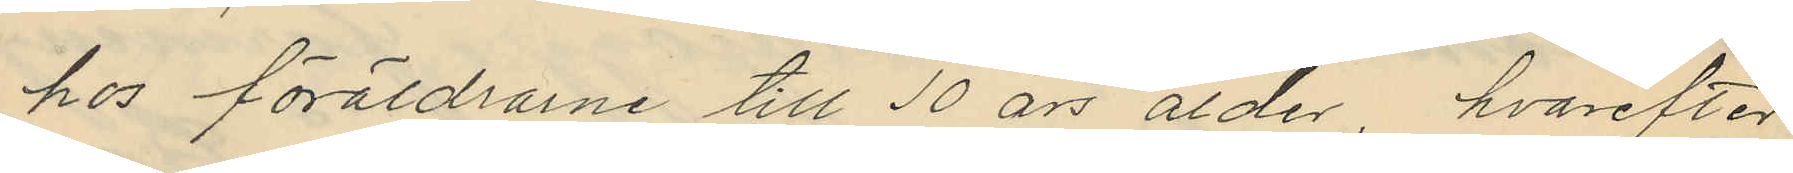hos föräldrarne till 10 års ålder, hvarefter
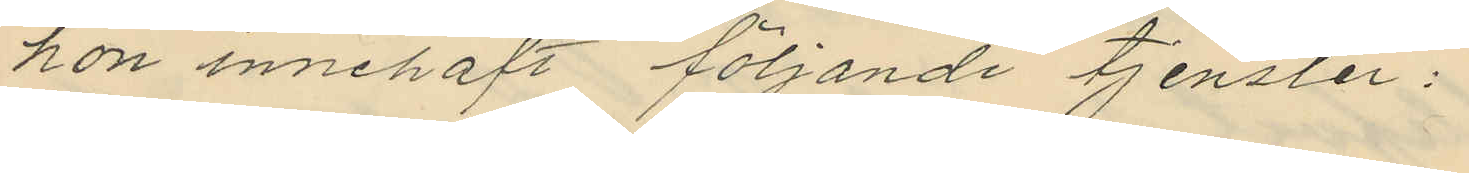hon innehaft följande tjenster:
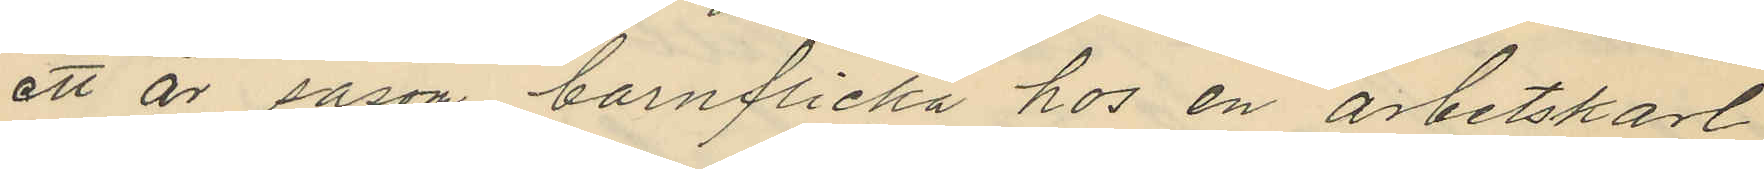ett år såsom barnflicka hos en arbetskarl
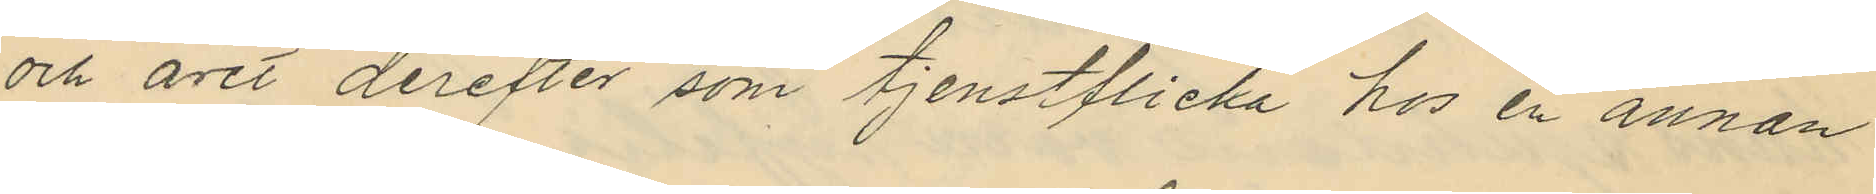och året derefter som tjenstflicka hos en annan
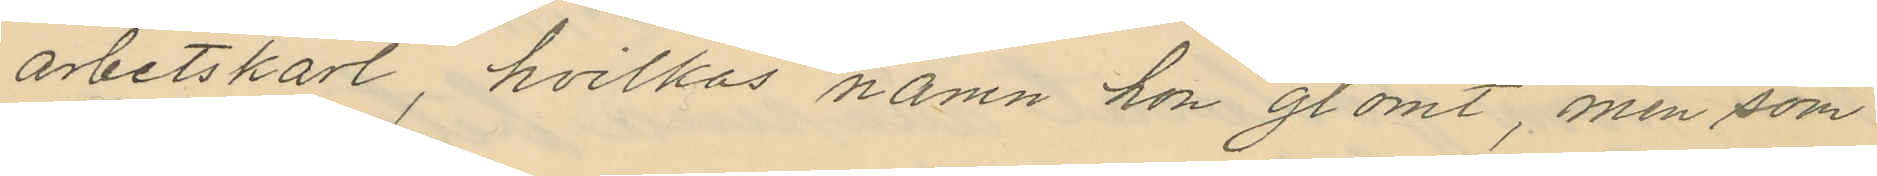arbetskarl, hvilkas namn hon glömt, men som
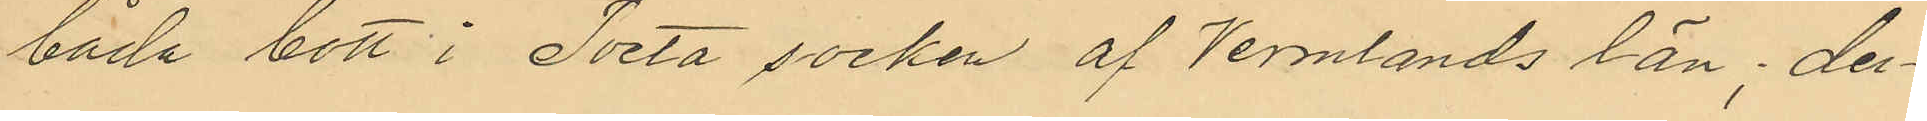båda bott i Tveta socken af Vermlands län; der¬
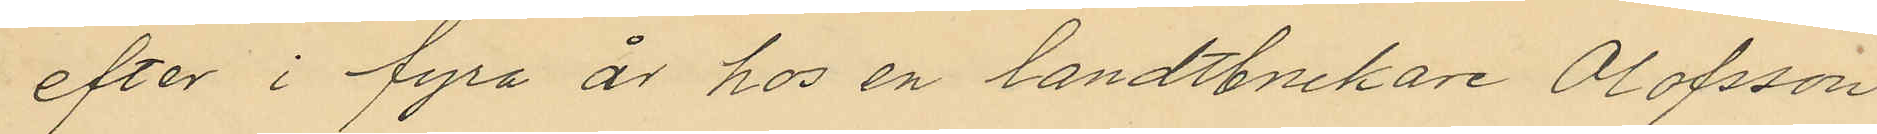efter i fyra år hos en landtbrukare Olofsson
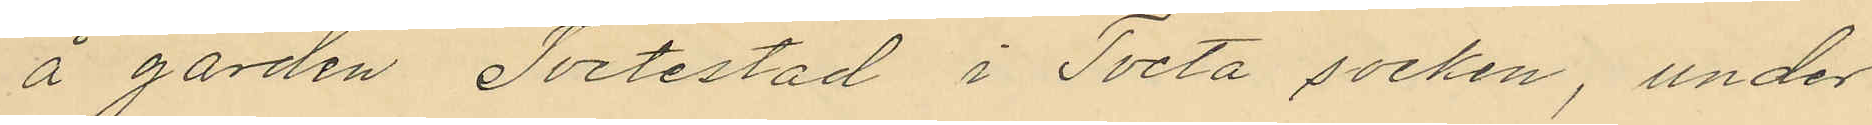å gården Tvetestad i Tveta socken, under
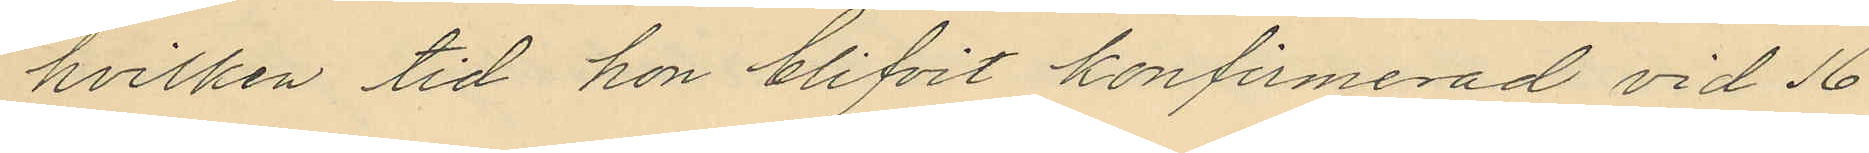hvilken tid hon blifvit konfirmerad vid 16
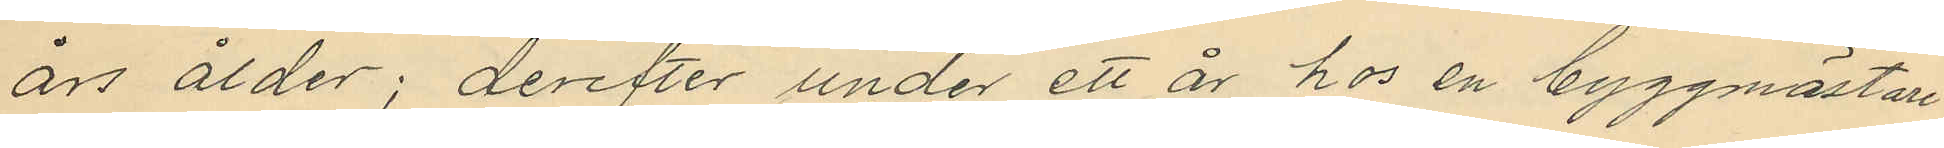års ålder; derefter under ett år hos en byggmästare
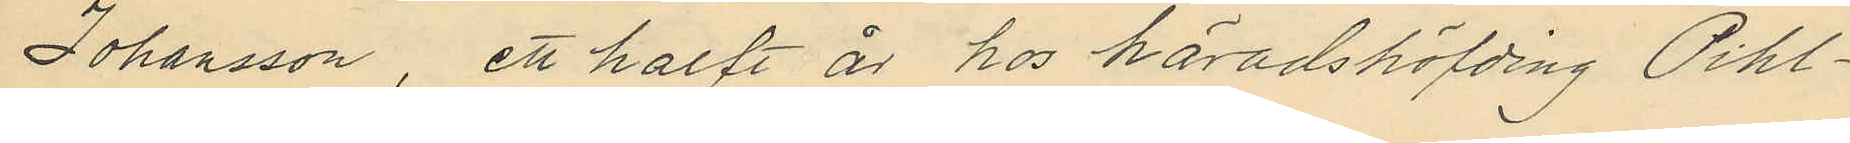Johansson, ett halft år hos häradshöfding Pihl¬
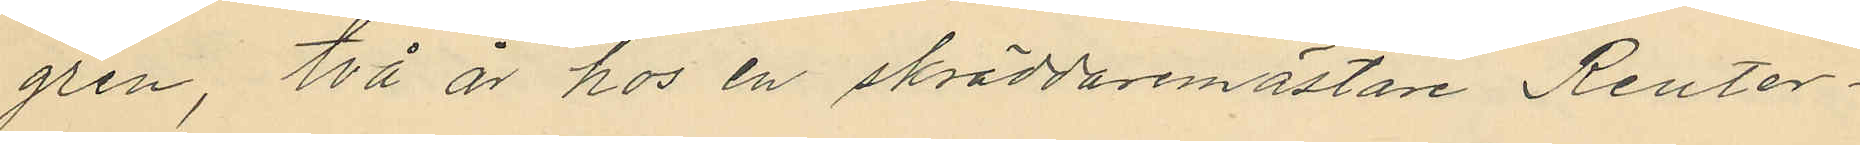gren, två år hos en skräddaremästare Reuter¬
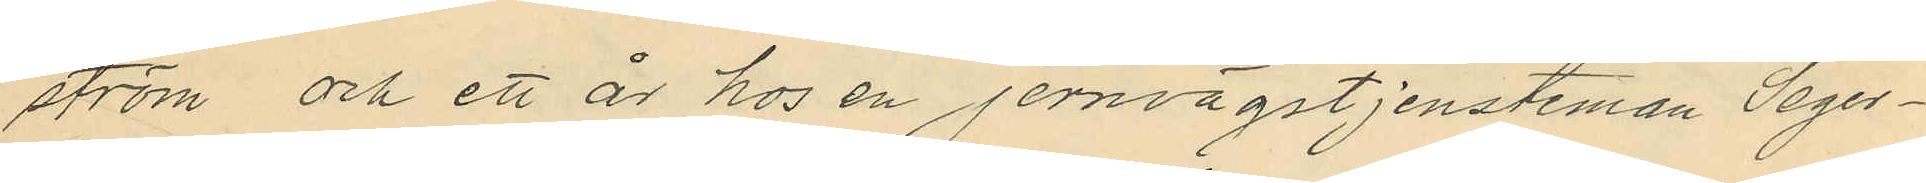ström och ett år hos en jernvägstjensteman Seger¬
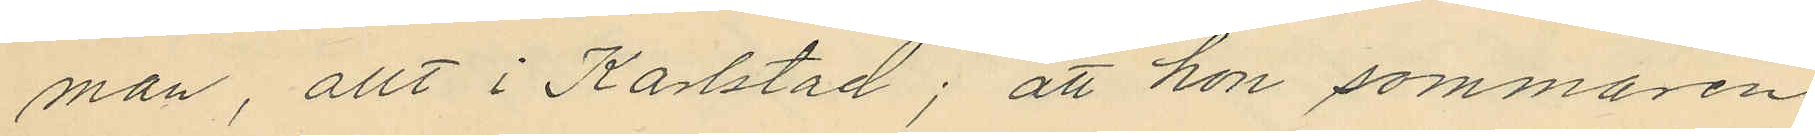man, allt i Karlstad; att hon sommaren
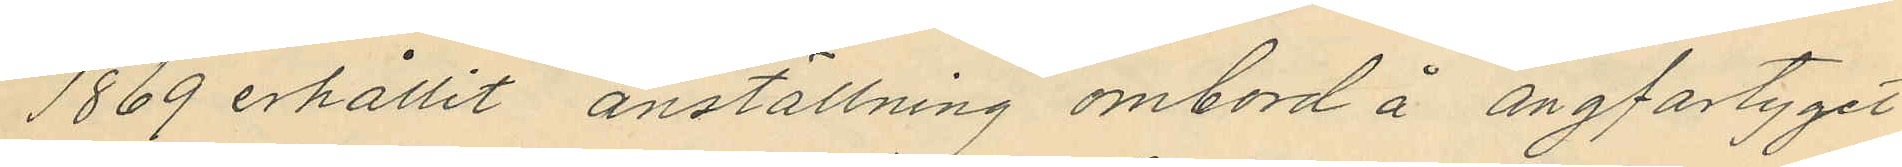1869 erhållit anställning ombord å ångfartyget
